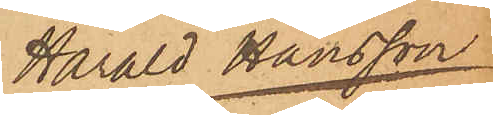Harald Hansson
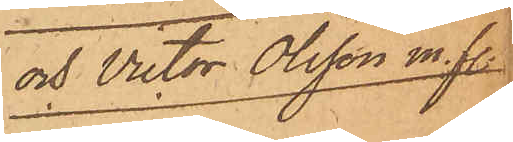och Victor Olsson m. fl.
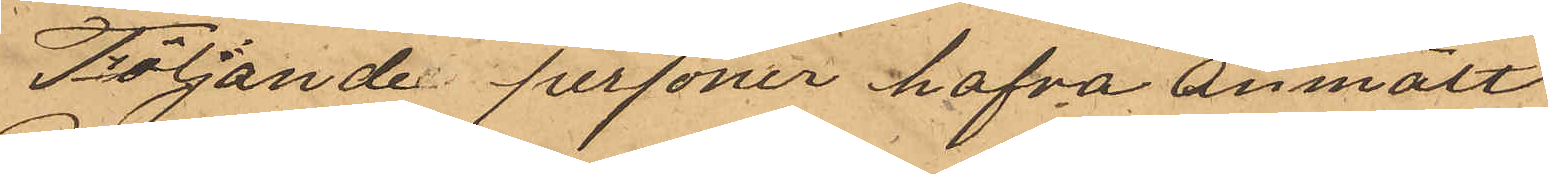Följande personer hafva anmält
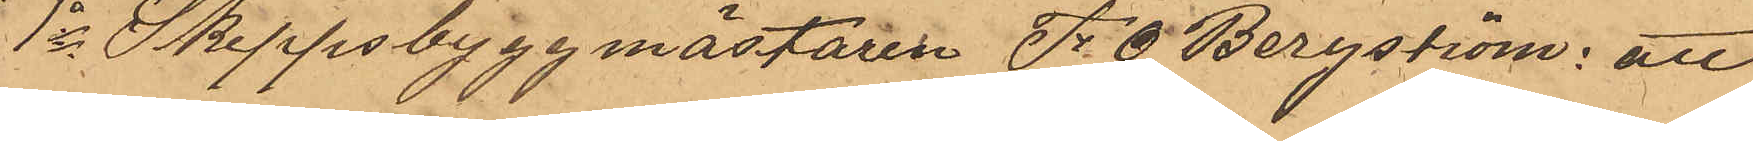1o Skeppsbyggmästaren F. O. Bergström: att
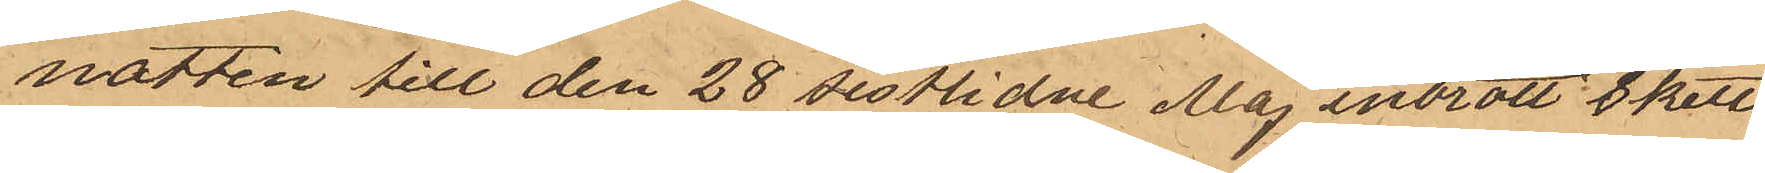natten till den 28 sistlidne Maj inbrott 8 skett
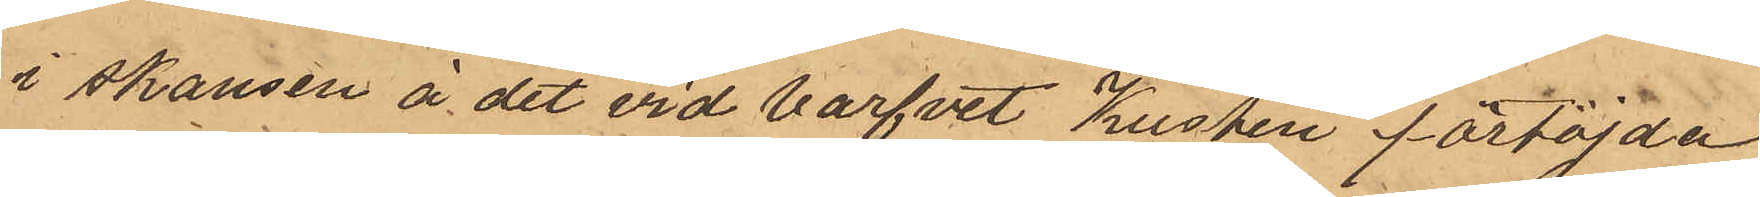i skansen å det vid varfvet Kusten förtöjda
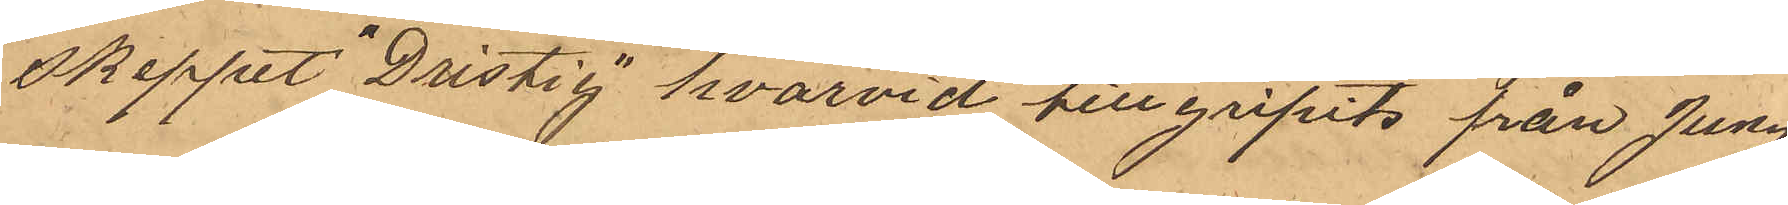skeppet "Dristig hvarvid tillgripits från Jung¬
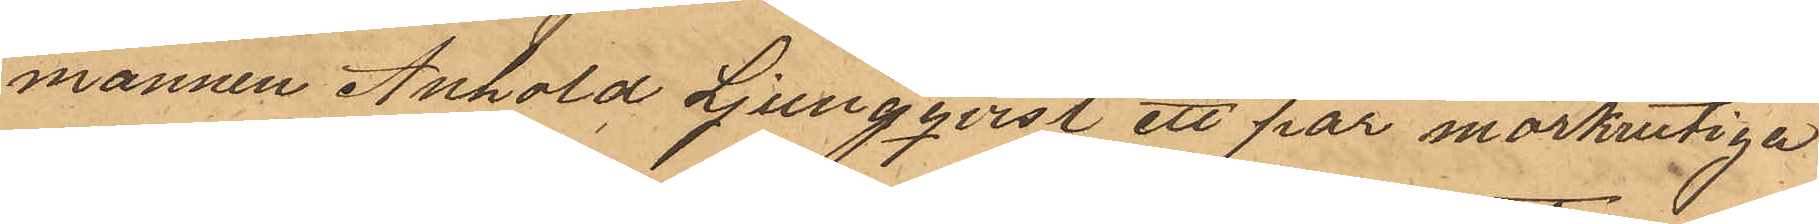mannen Anhold Ljungqvist ett par mörkrutiga
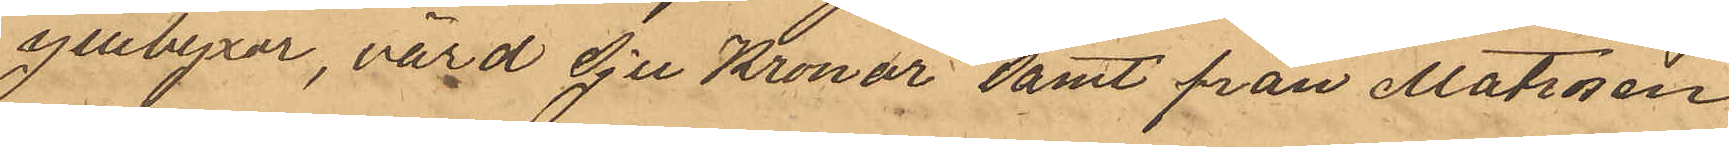yllebyxor, värd Sju Kronor samt från Matrosen
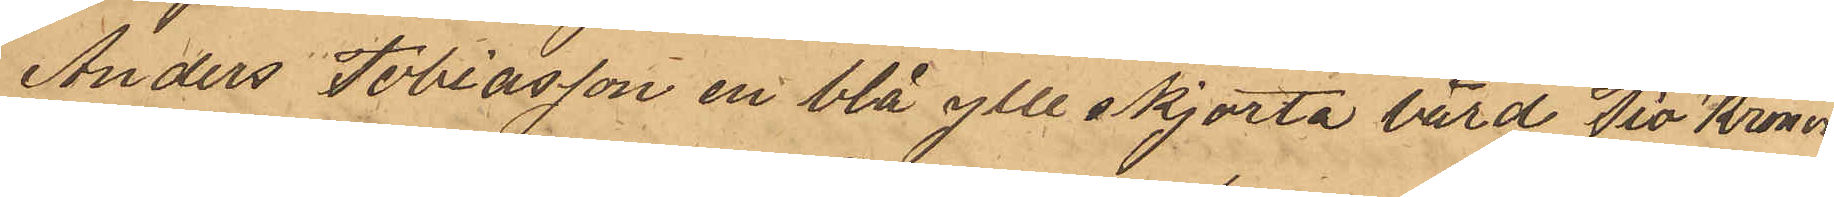Anders Tobiasson en blå ylle skjorta värd Tio Kronor
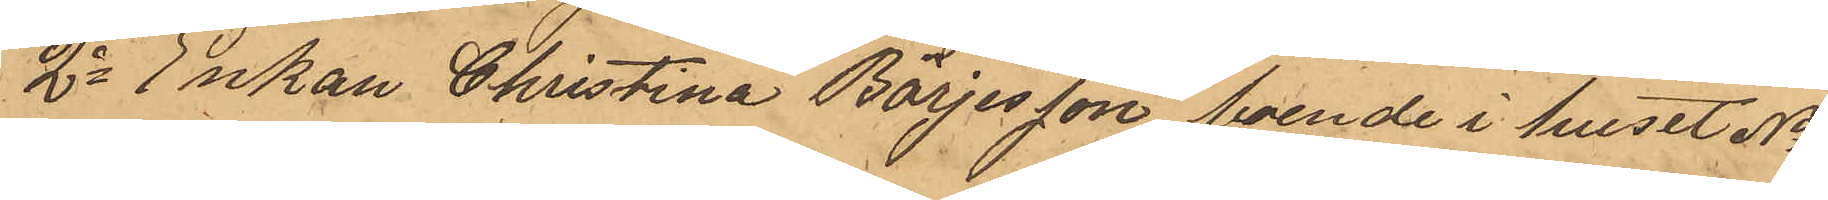2o Enkan Christina Börjesson, boende i huset No
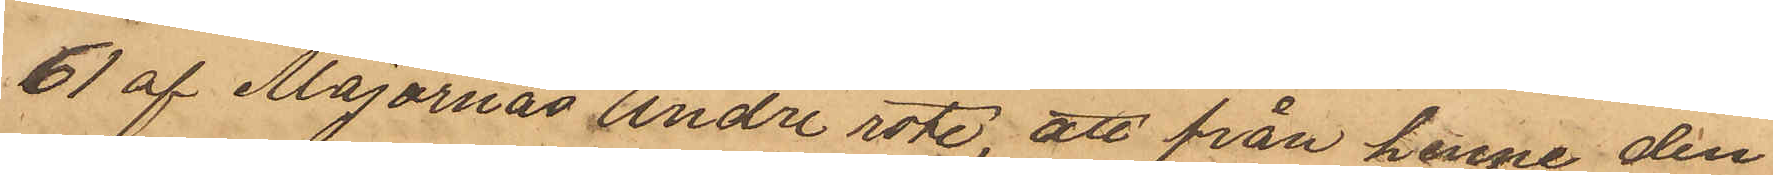61 af Majornas Andre rote, att från henne den
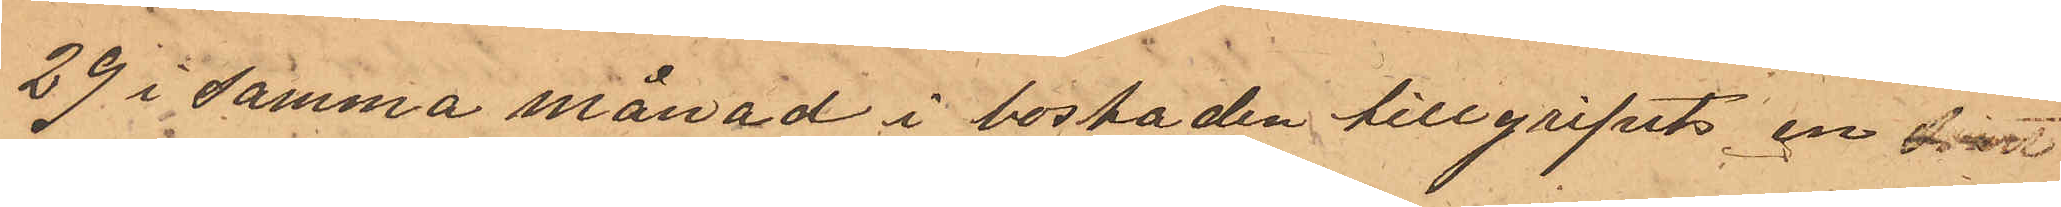29 i samma månad i bostaden tillgripits en hvit
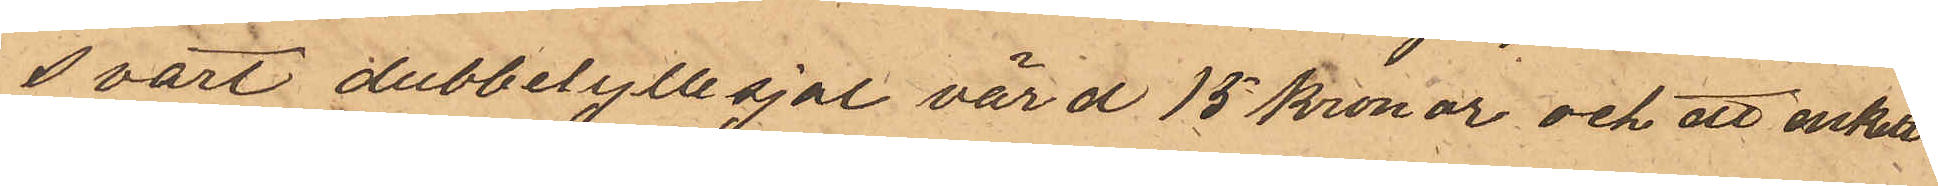svart dubbelyllesjal värd 15 kronor och ett enkelt
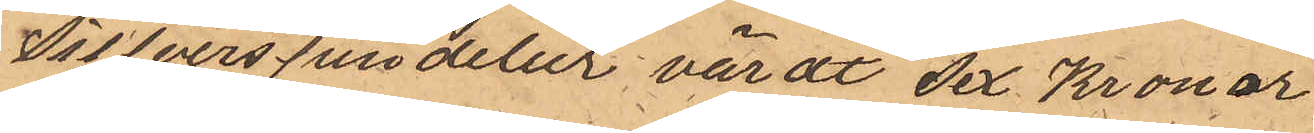Silverspindelur värdt Sex Kronor
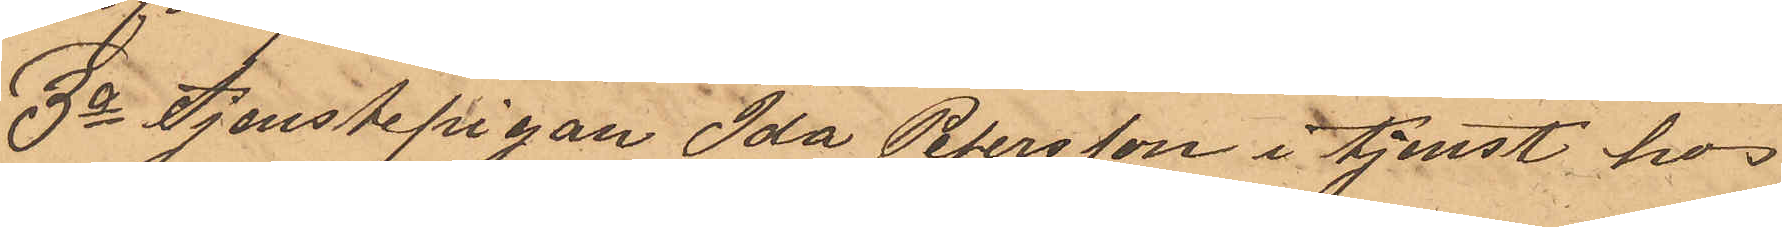3o Tjenstepigan Ida Petersson i tjenst hos
